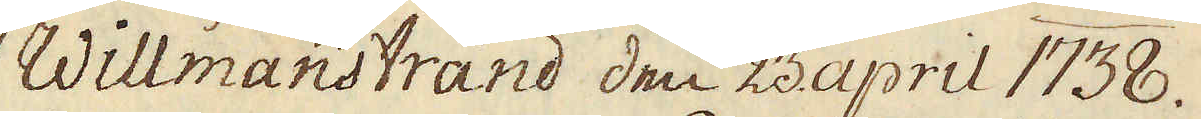Willmanstrand den 23 april 1738.
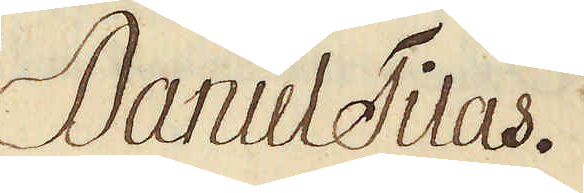Daniel Tilas.
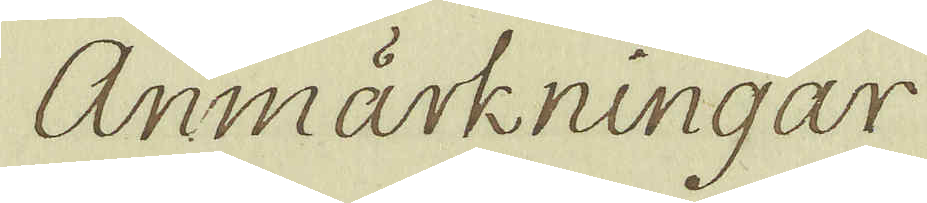Anmärkningar
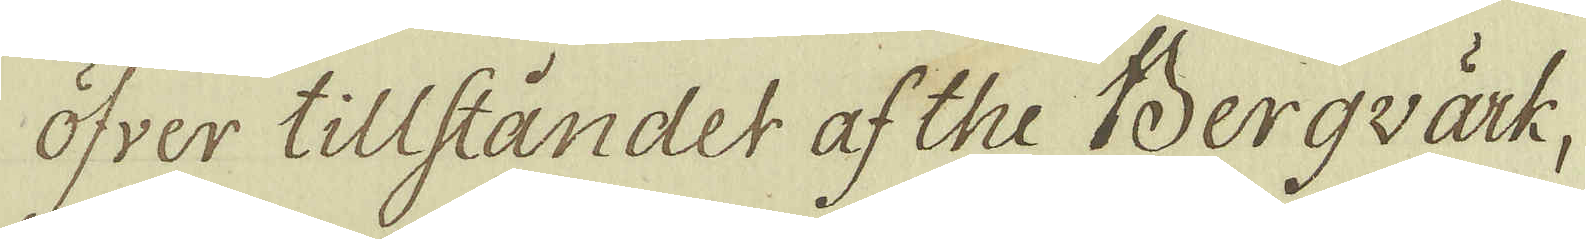öfver tillståndet af the Bergvärk,
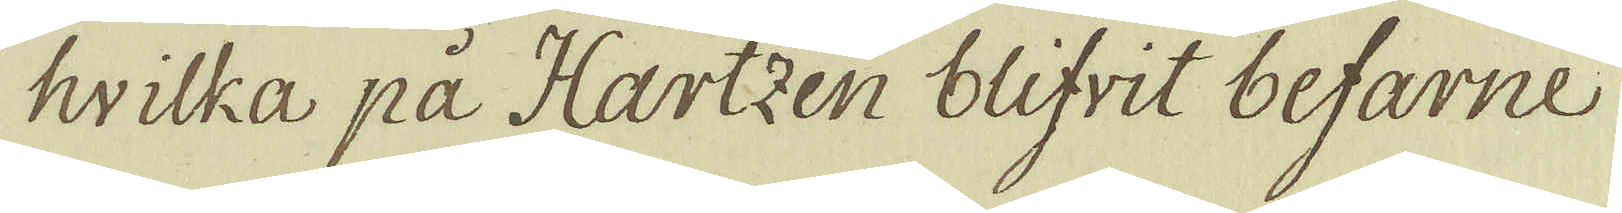hvilka på Hartzen blifvit befarne
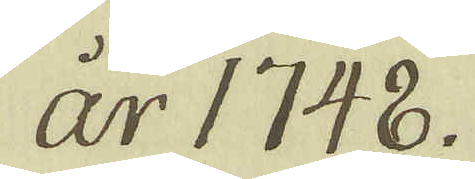år 1748.
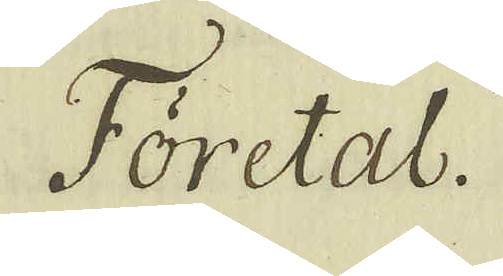Företal.
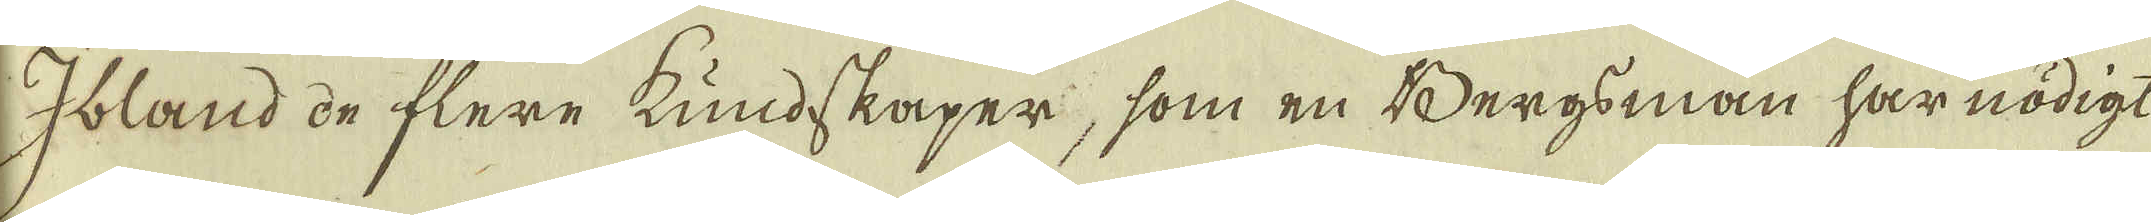Ibland de flere kundskaper, som en Bergsman har nödigt
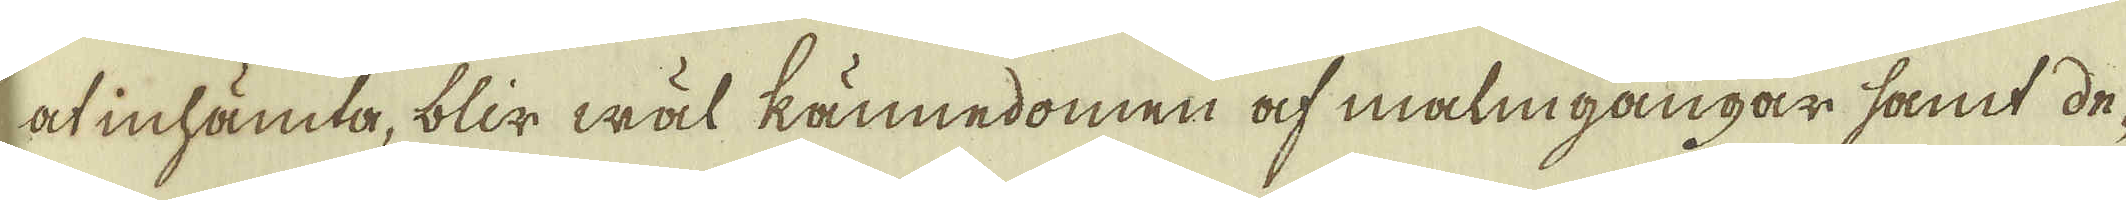at inhämta, blir wäl kännedomen af malmgångar samt de-
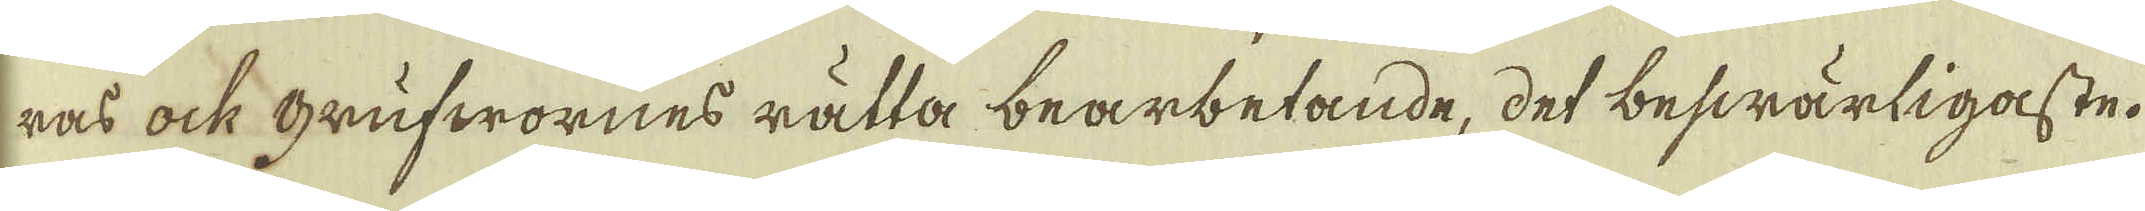ras ock Grufwornes rätta bearbetande, det beswärligaste.
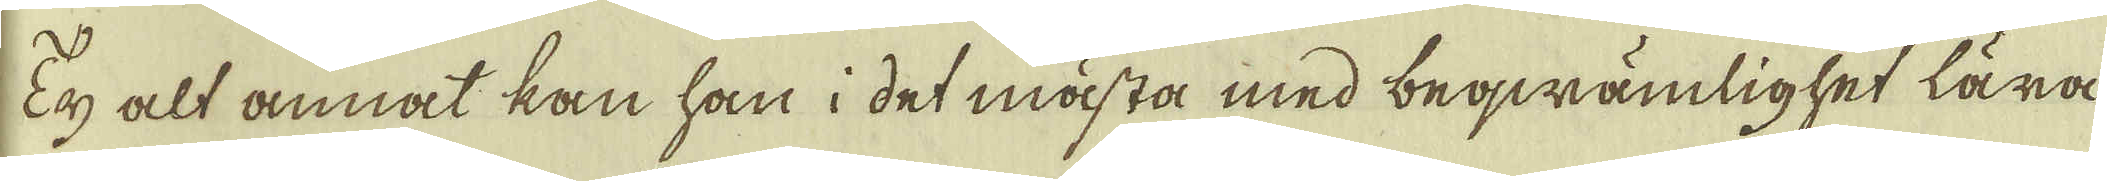Ty alt annat kan han i det mästa med beqwämlighet lära
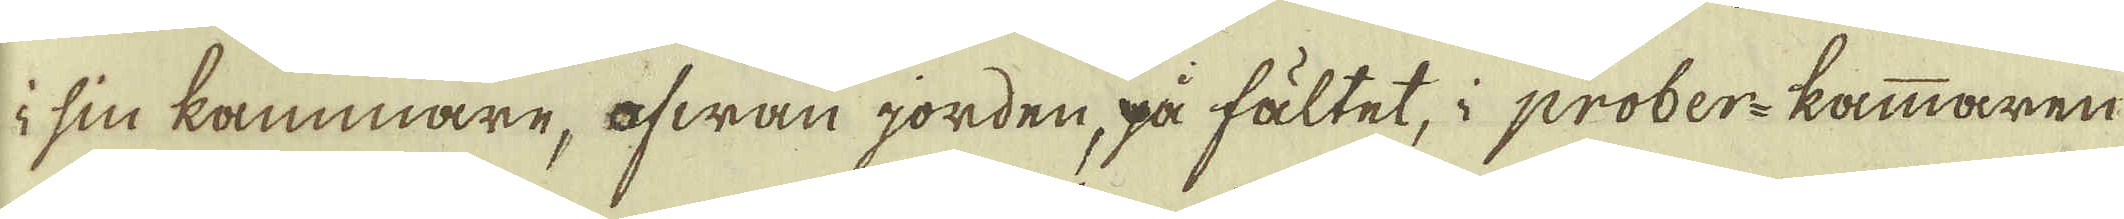i sin kammare, ofwan jorden, på fältet, i prober-kammaren
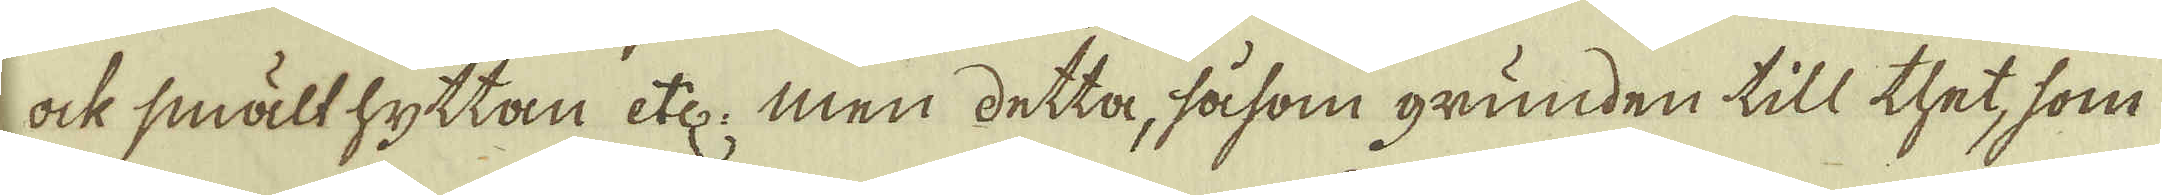ock smälthyttan etc. men detta, såsom grunden till thet, som
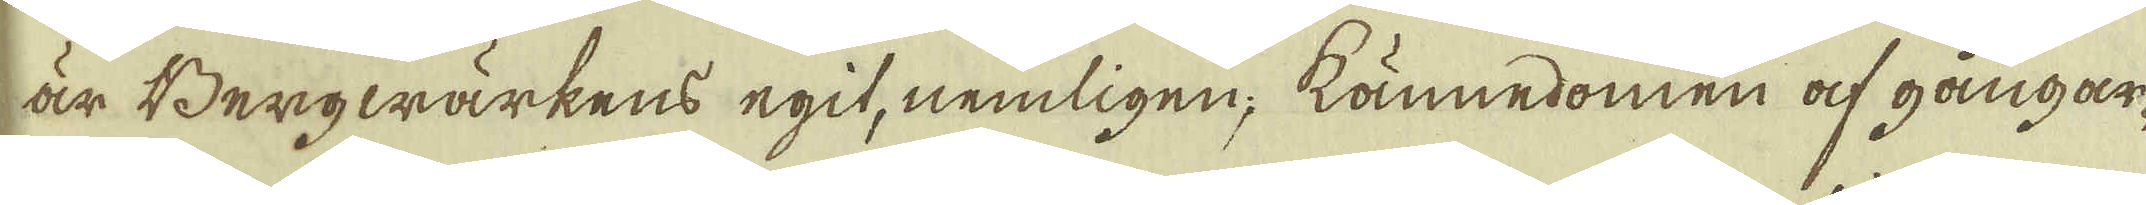är Bergwärkens egit, nemligen; kännedomen af gångar-
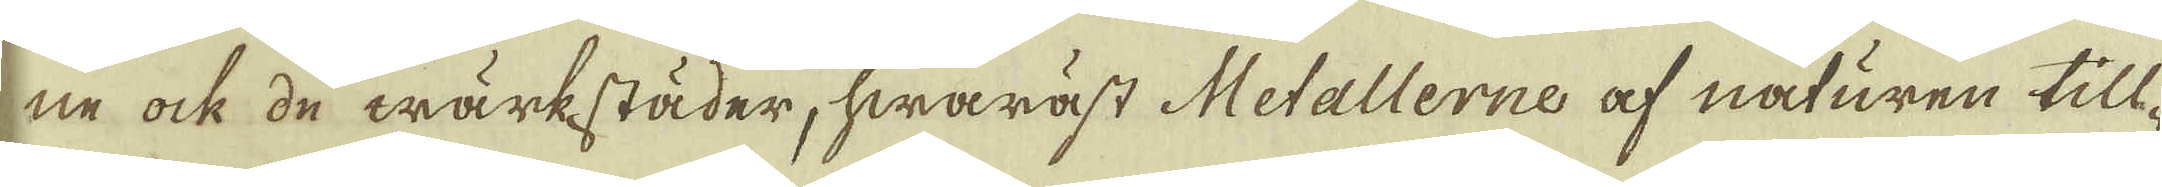ne ock de wärkstäder, hwaräst Metallerne af naturen till-
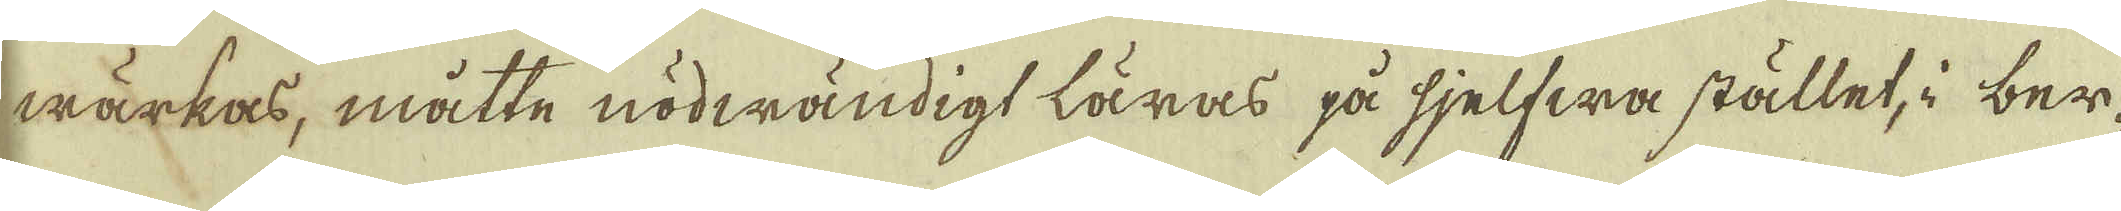wärkas, måtte nödwändigt läras på sjelfwa stället, i ber-
